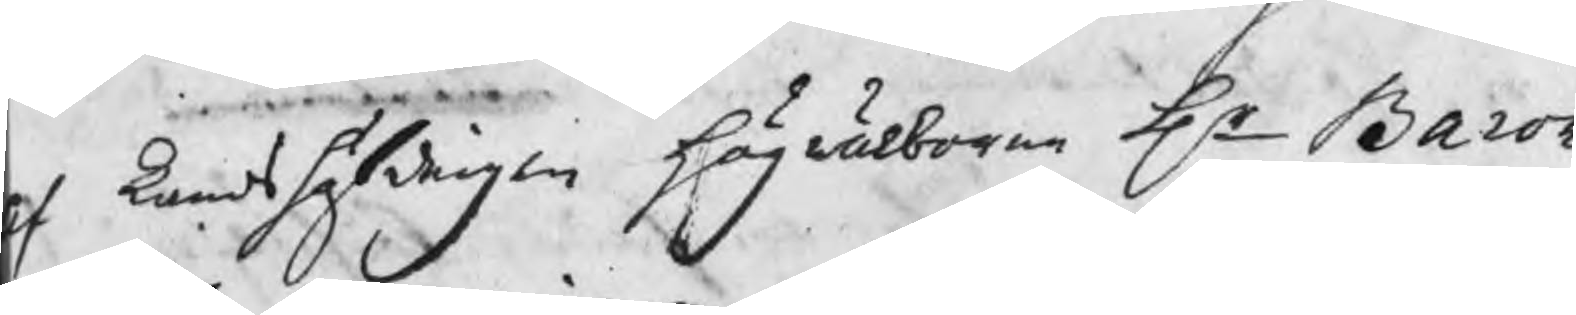af Landshöfdingen högwälborne Hr Baron
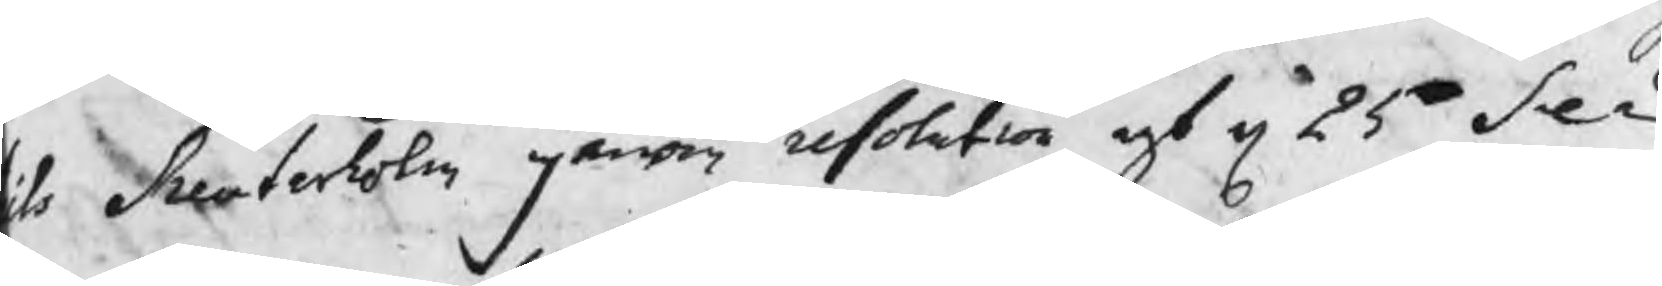ils Reuterholm genom resolution af d 25 Se¬
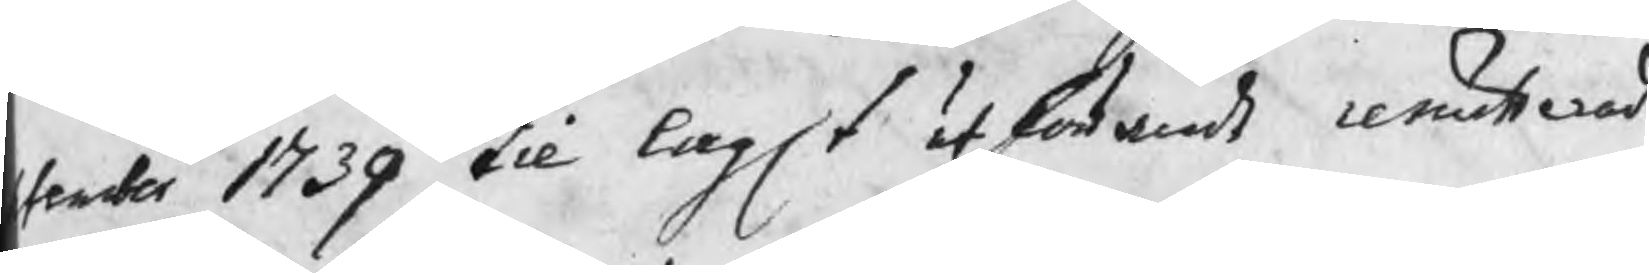tember 1739 til lagt utförande remitterad
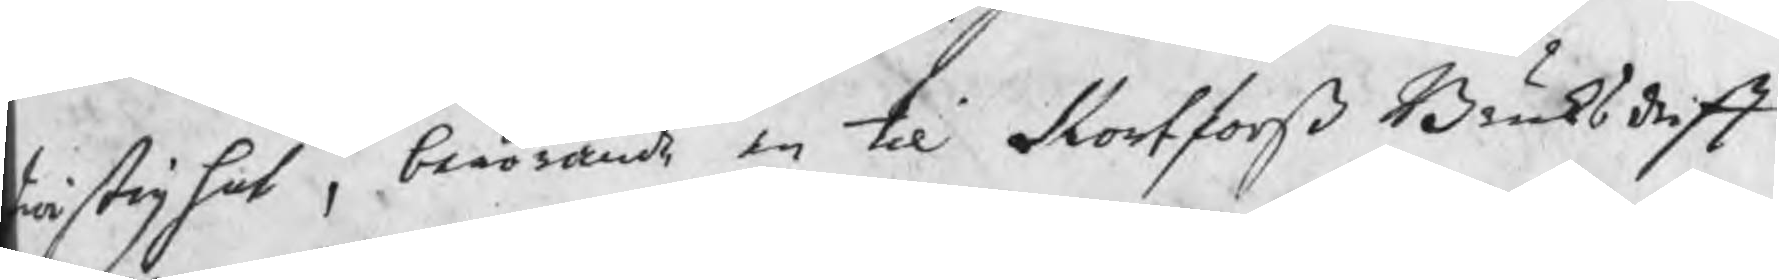twistighet , berörande en til Kortforß Bruksdrift
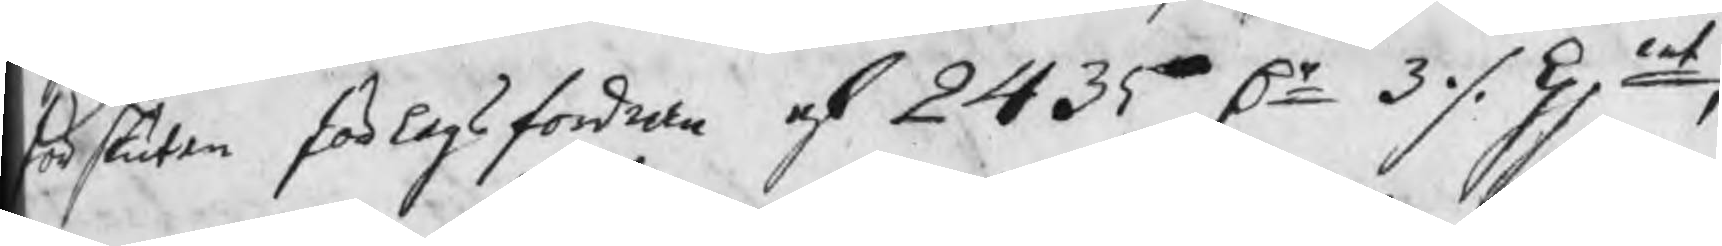förskuten förlagsfordran af 2435 Dr 3 ./. kpmt ,
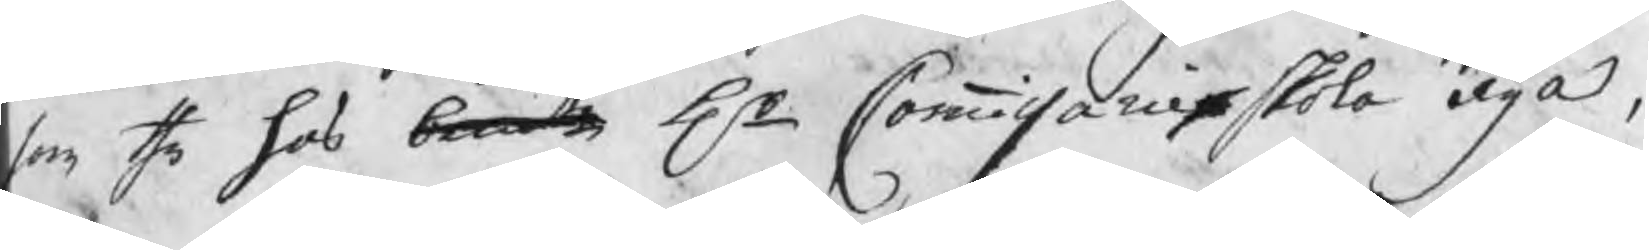som the hos bemde Hr Commissarie skola äga,
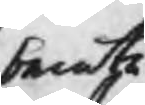bemte
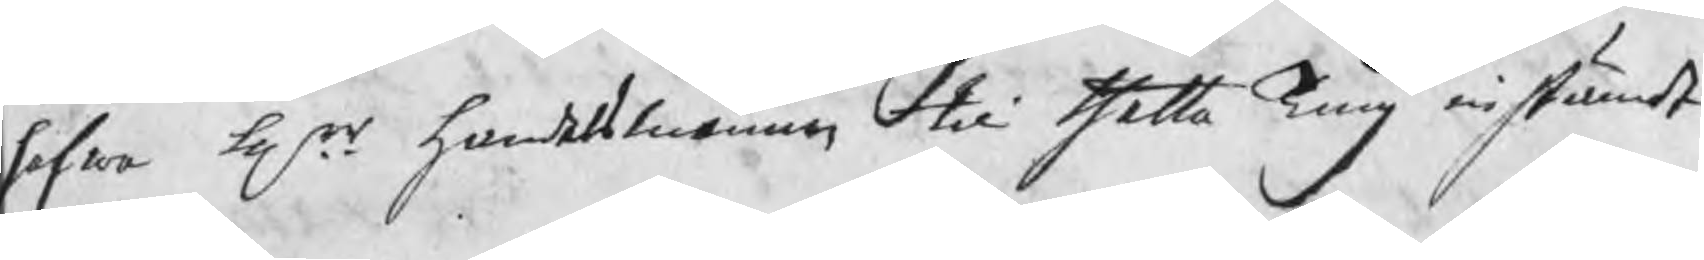hafwa Hrr handelsmännen til thetta Ting instämdt
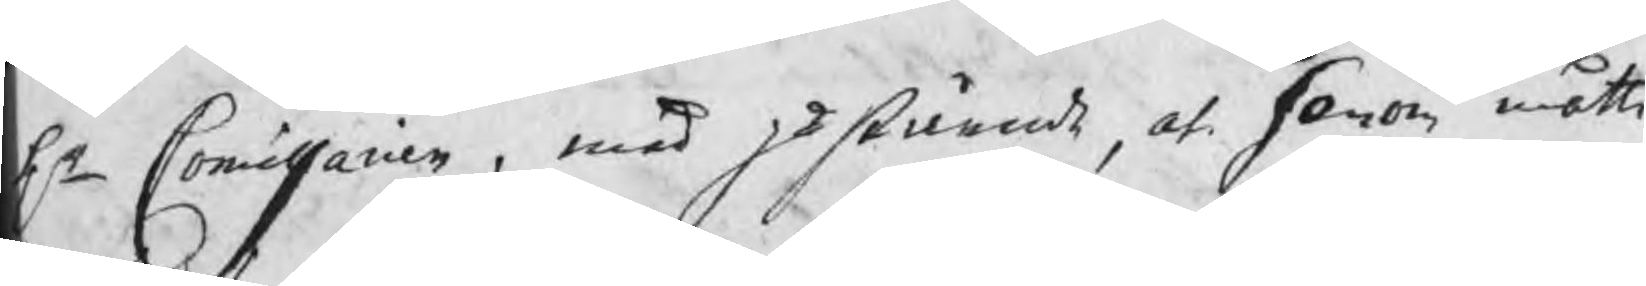Hr Commissarien , med påstående, at honom måtte
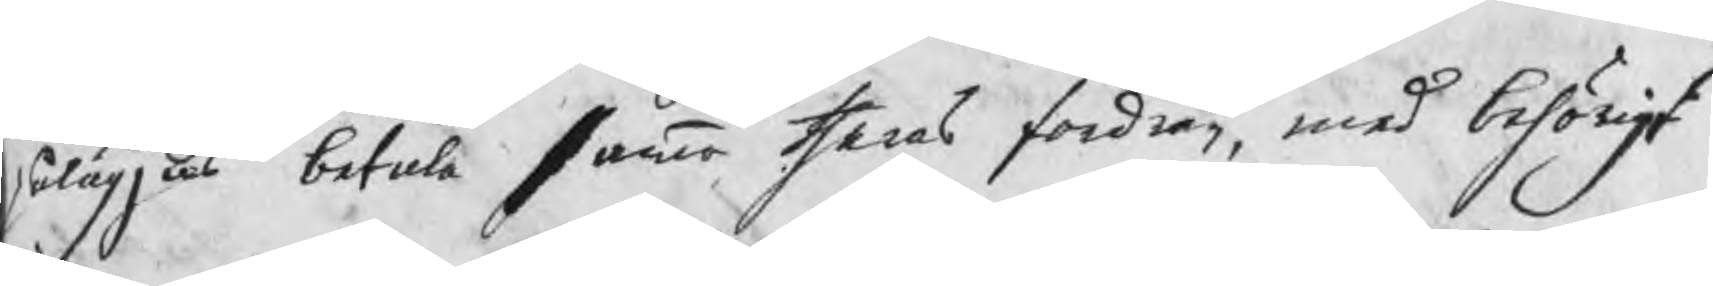påläggas betala samma theras fordran, med behörigt
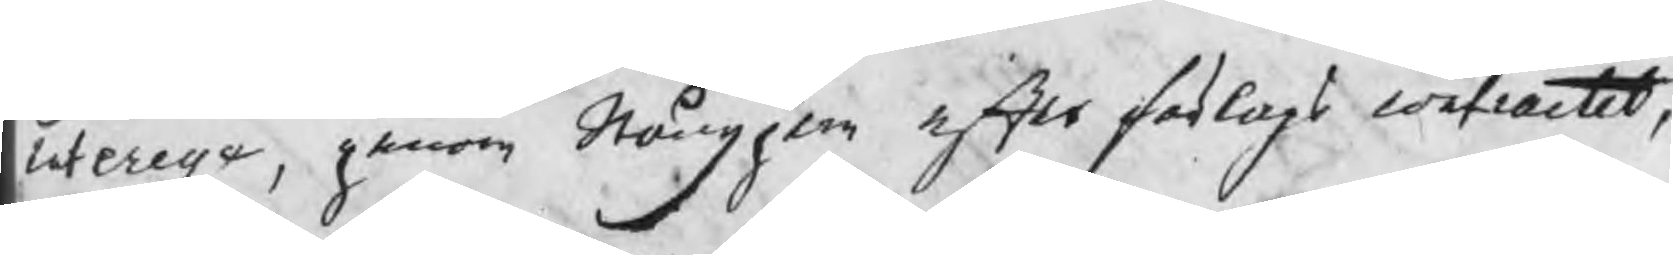interesse, genom Stångjern efter förlags contractet,
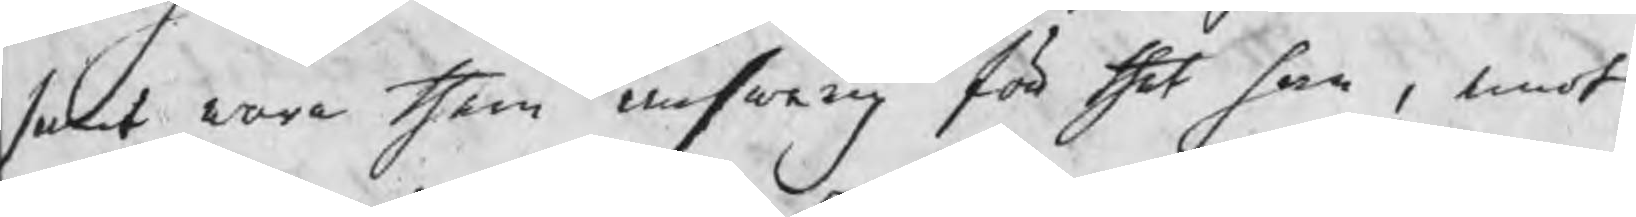samt wara them answarig för thet han , emot
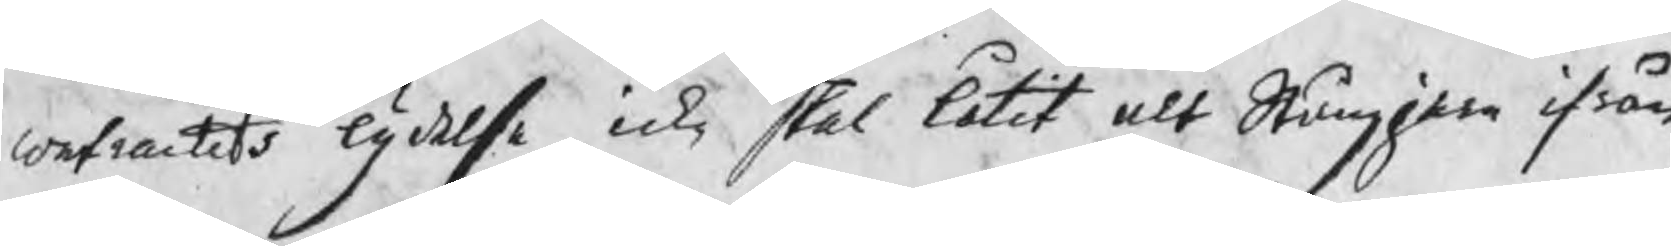contractets lydelse, icke skal låtit alt Stångjern ifrån
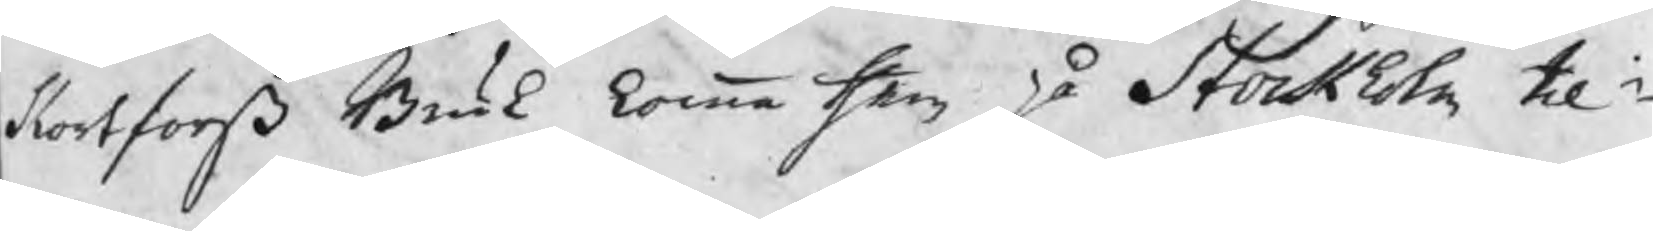Kortforß Bruk komma them på Stockholm til¬
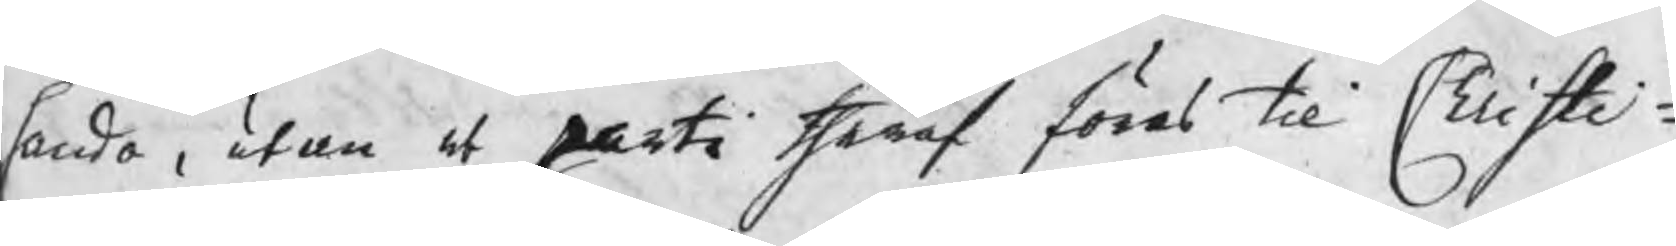handa , utan at parti theraf föras til Christi¬
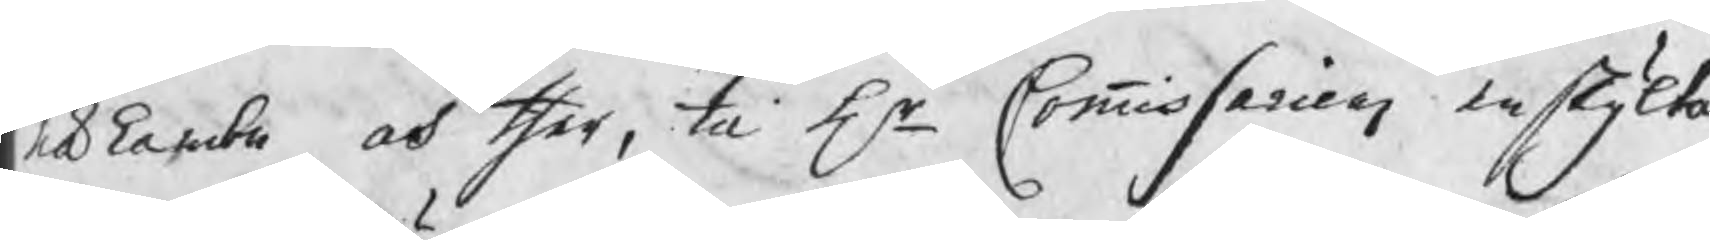nähambn och ther, til Hr Commissariens enskijlta
